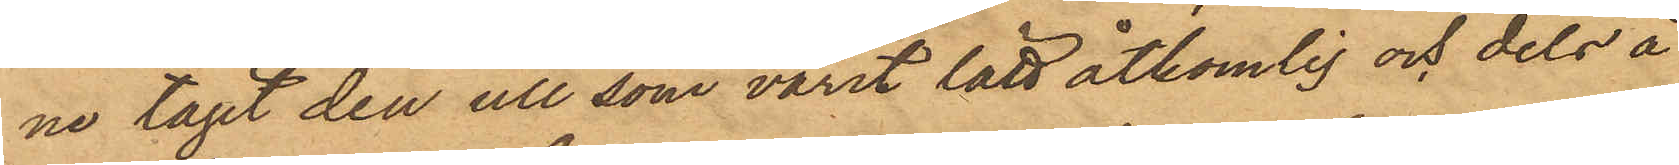ne tagit den ull som varit lätt åtkomlig och dels å
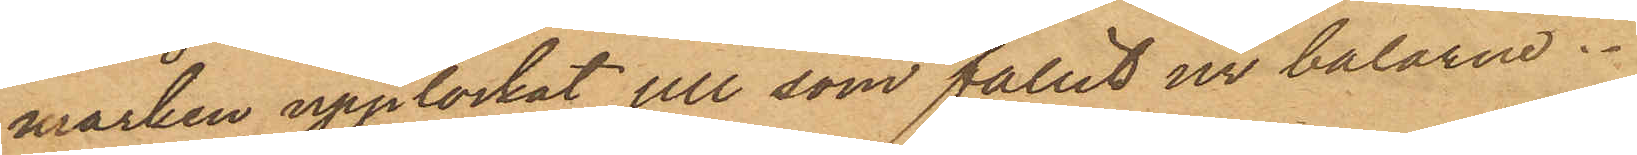marken upplockat ull som fallit ur balarna.
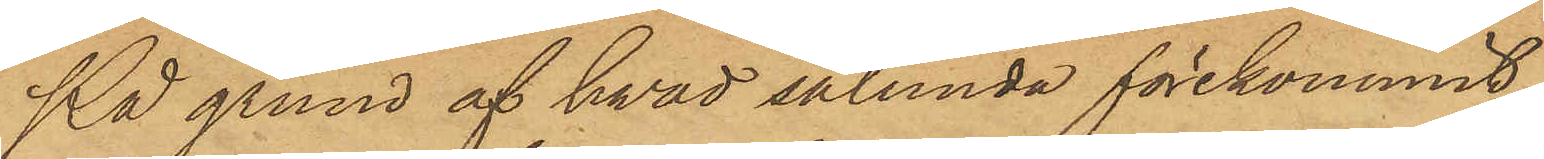På grund af hvad sålunda förekommit,
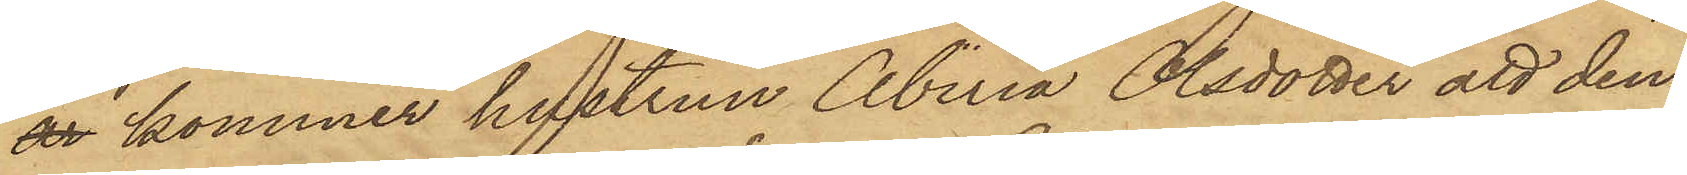är kommer hustrun Abiria Olsdotter att den¬
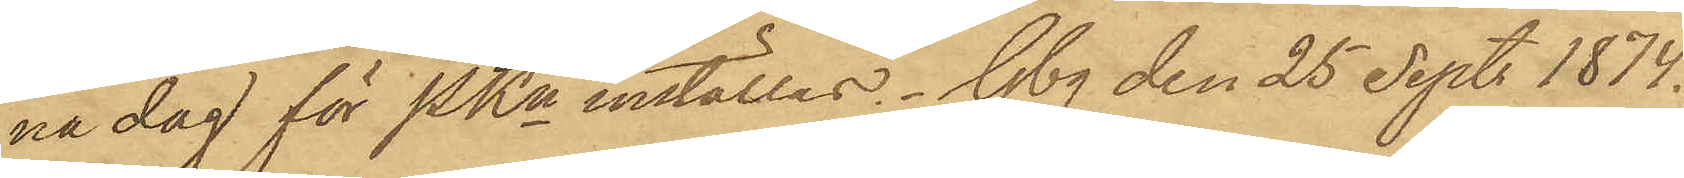na dag för PKn inställas. Gbg den 25 Sept 1874.
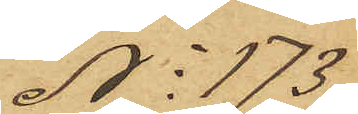No 173
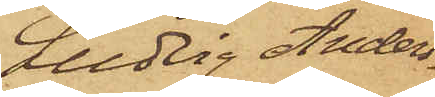Ludvig Anders¬
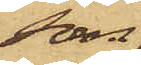son.
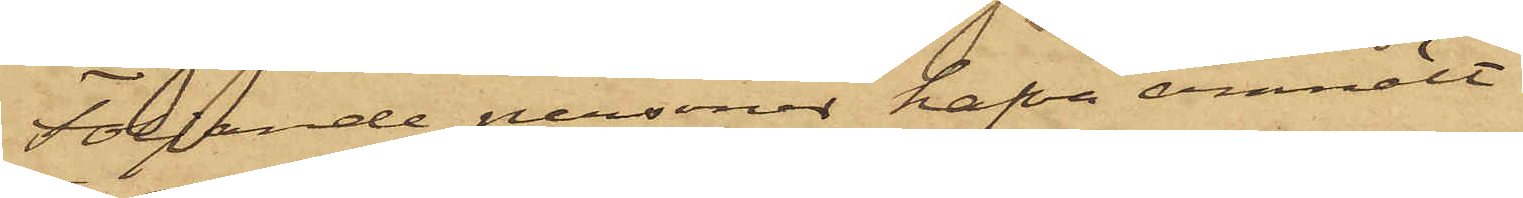Följande personer hafva anmält
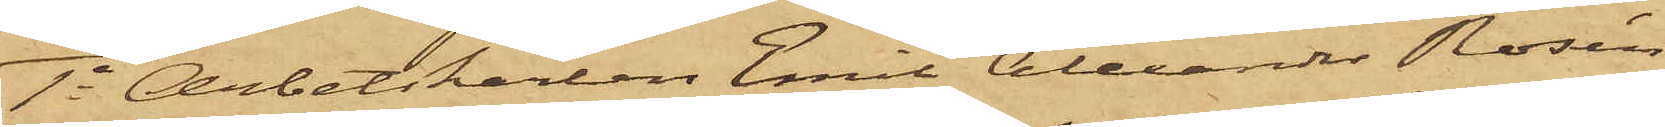1o Arbetskarlen Emil Alexander Rosén,
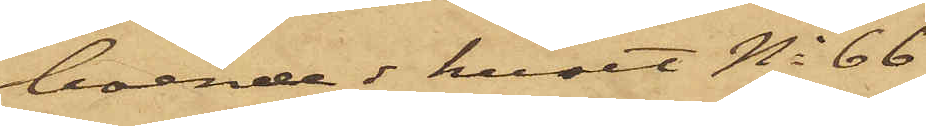boende i huset No 66
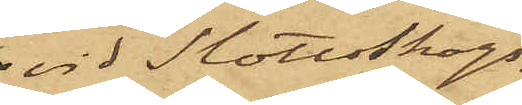vid Slottsskogs¬
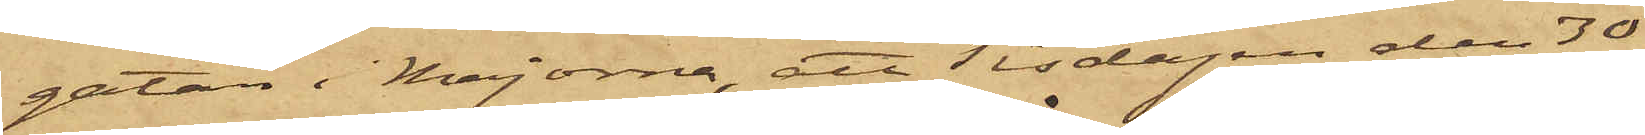gatan i Majorna, att Tisdagen den 30
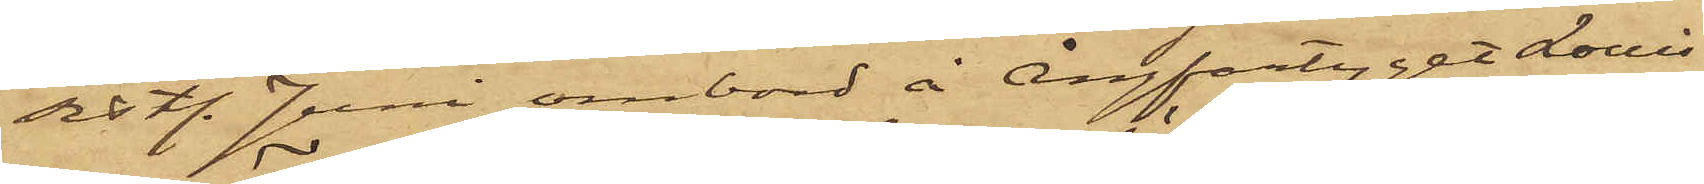sist. Juni ombord å Ångfartyget Louise
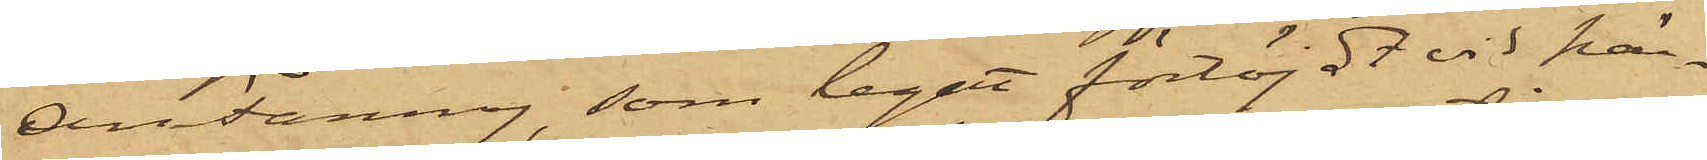Ann Fanny, som legat förtöjdt vid här¬
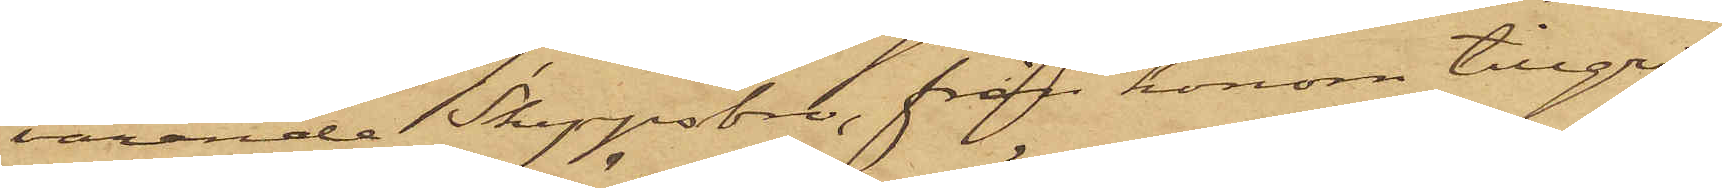varande Skeppsbro, från honom tillgri¬
